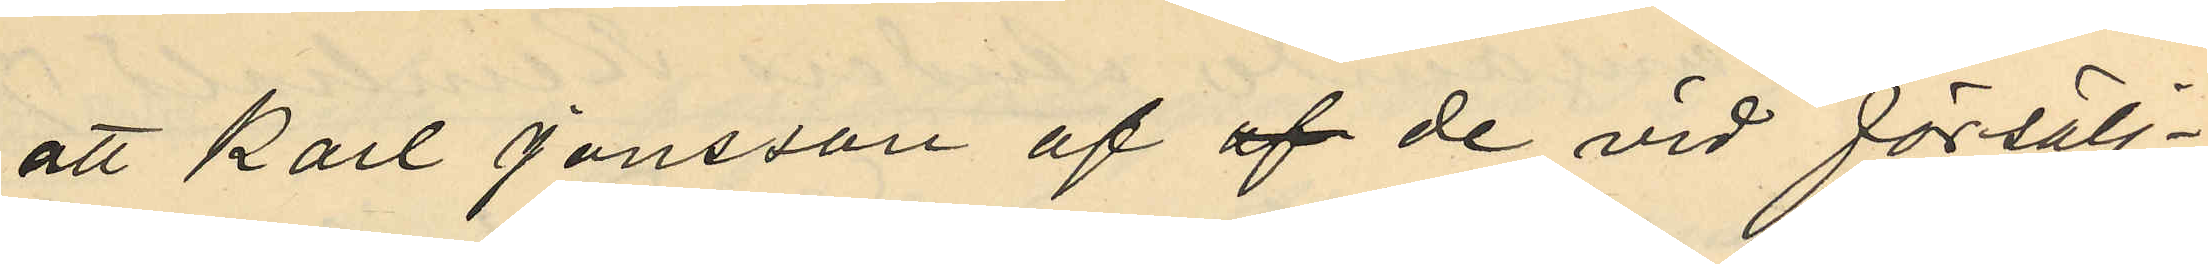att Karl Jonsson af af de vid försälj¬
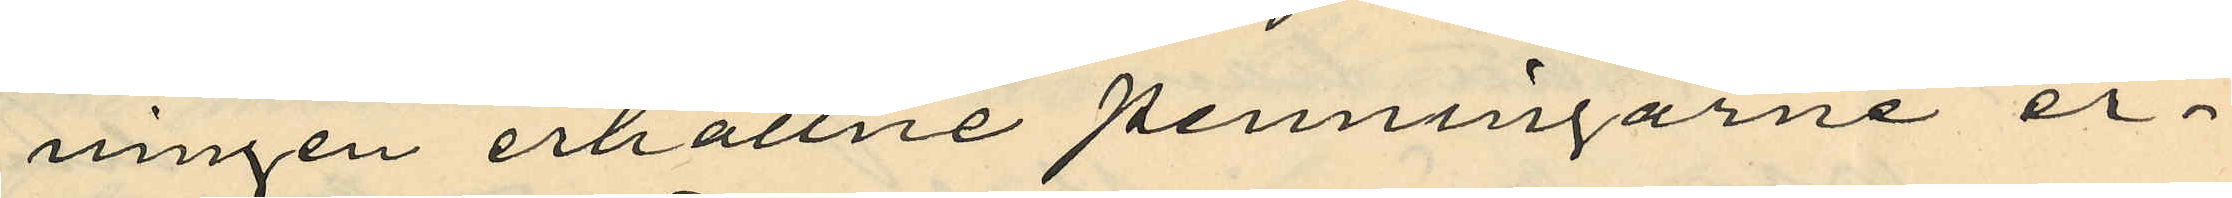ningen erhållne penningarne er¬
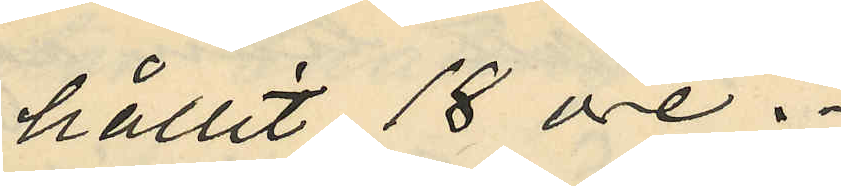hållit 18 öre.
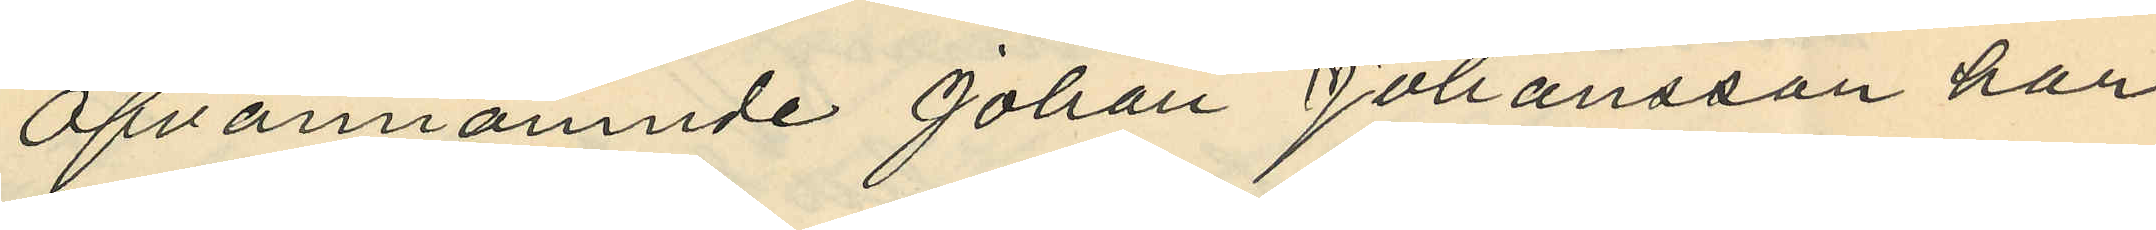Ofvannämnde Johan Johansson har
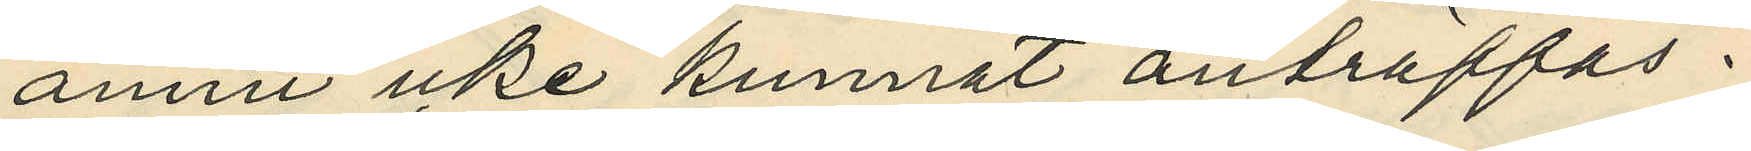annu icke kunnat anträffas.
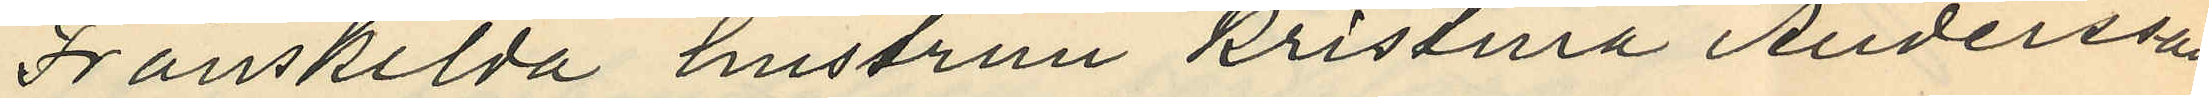Frånskilda hustrun Kristina Andersson
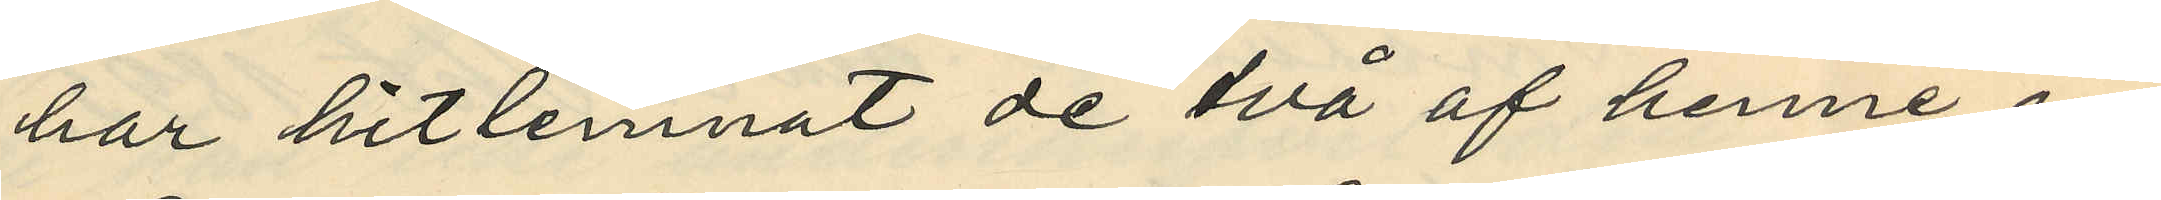har hitlemnat de två af henne in¬
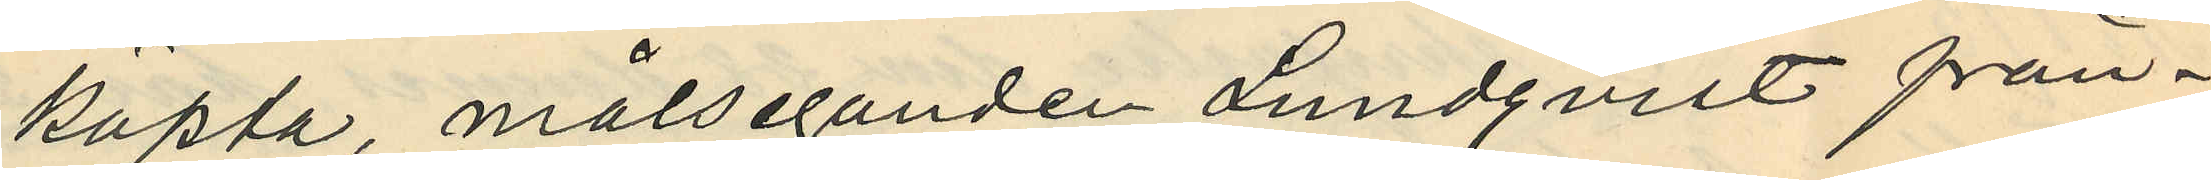köpta, målseganden Lundqvist från¬
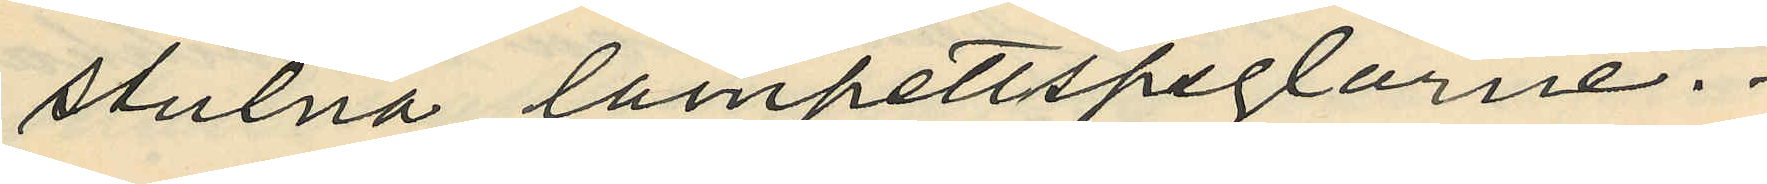stulna lampettspeglarne.
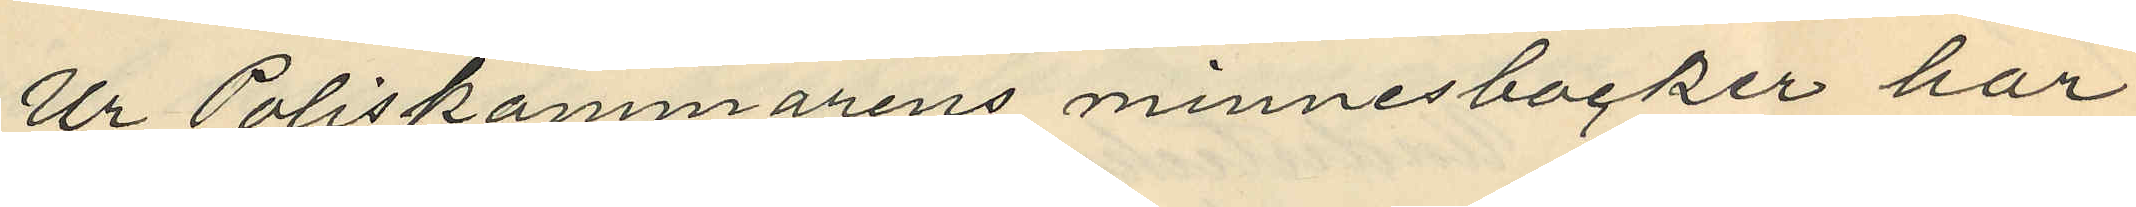Ur Poliskammarens minnesböcker har
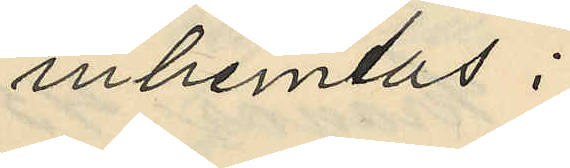inhemtas:
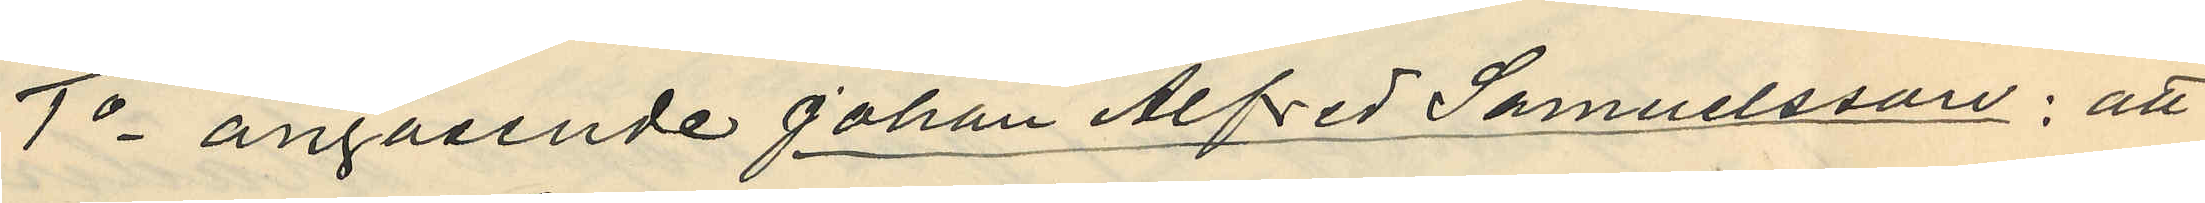1o angående Johan Alfred Samuelsson: att
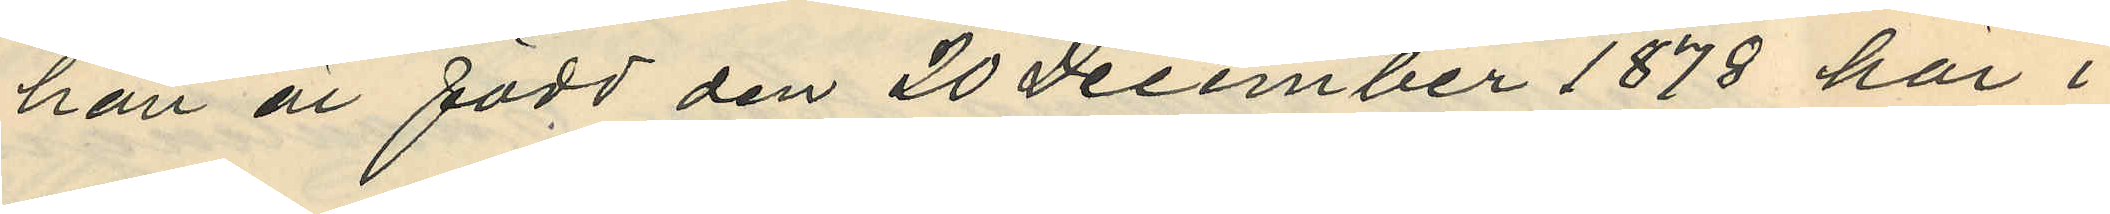han är född den 20 December 1878 här i
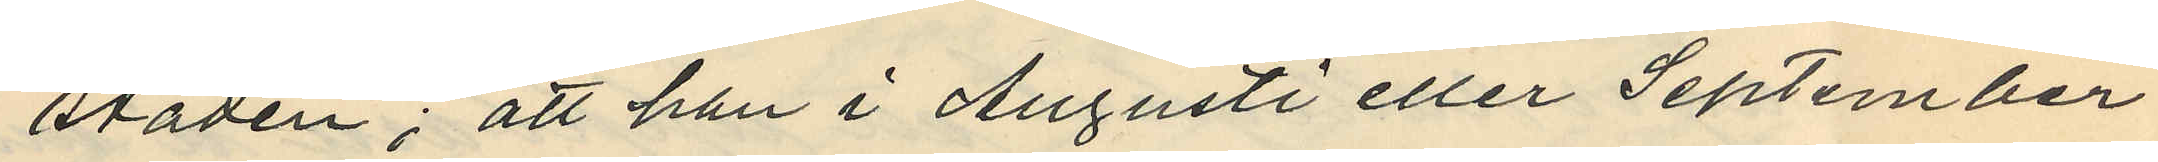staden; att han i Augusti eller September
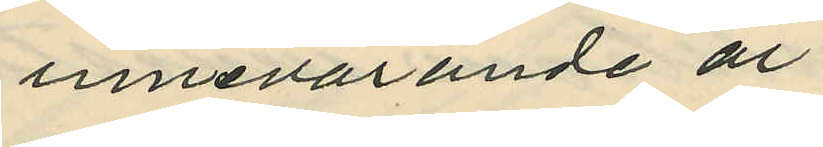innevarande år
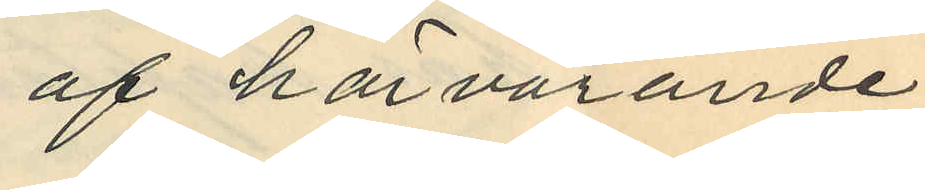af härvarande
